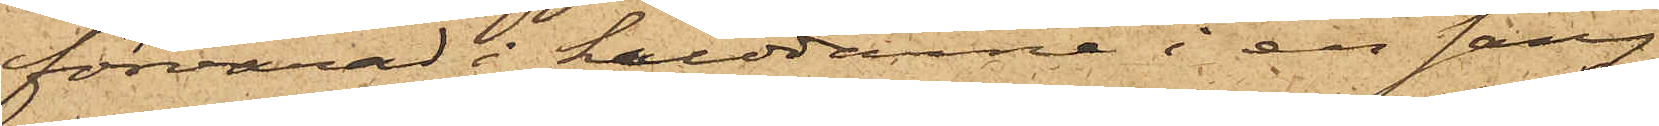förvarad i kuddarne i en säng
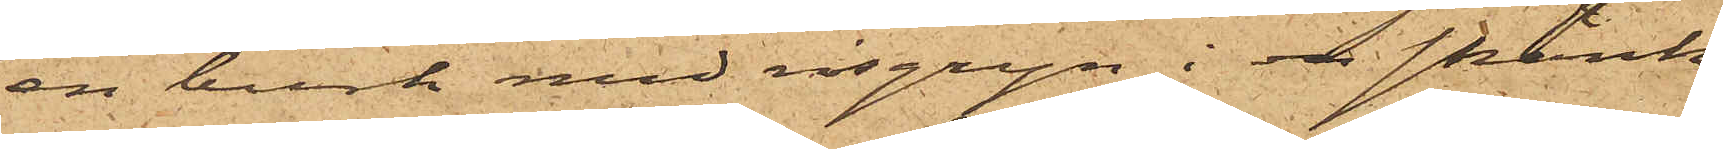en burk med risgryn i en skänk
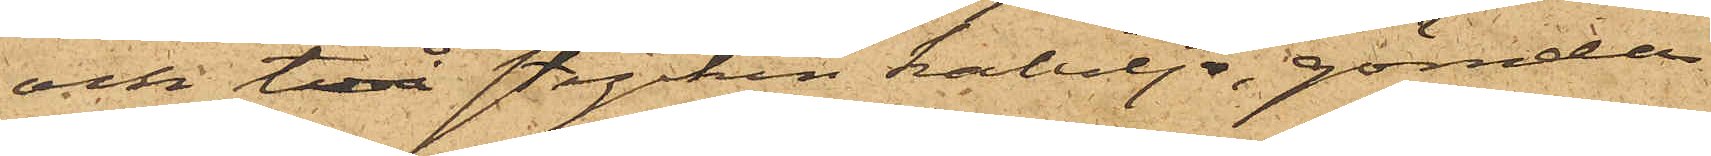och två stycken kabeljo, gömda
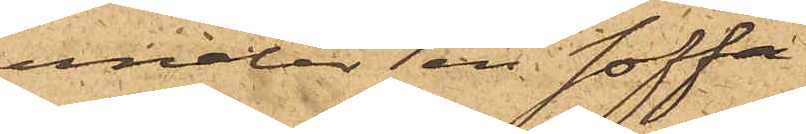under en soffa.
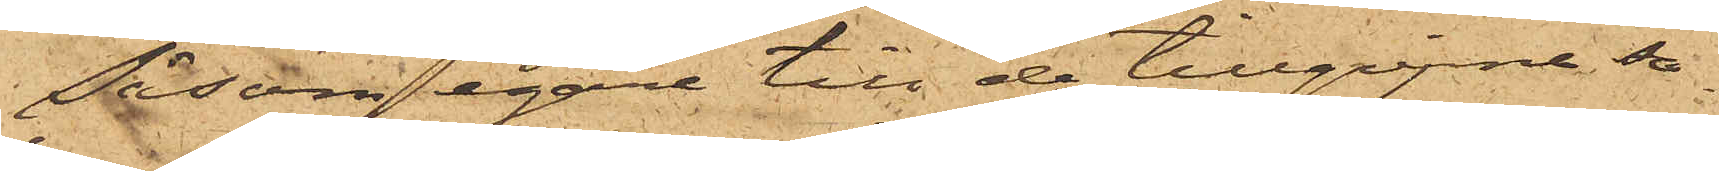Såsom egare till de tillgripne sa¬
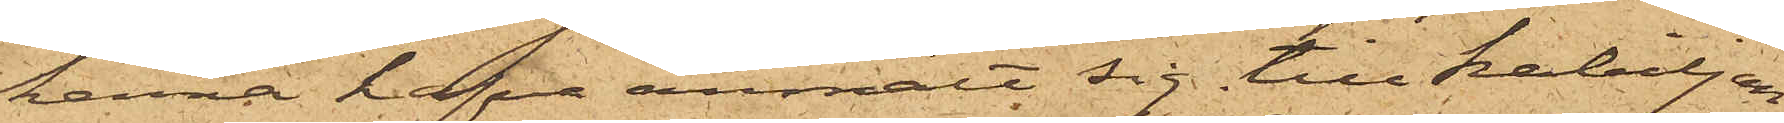kerna hafva anmält sig till kabiljon
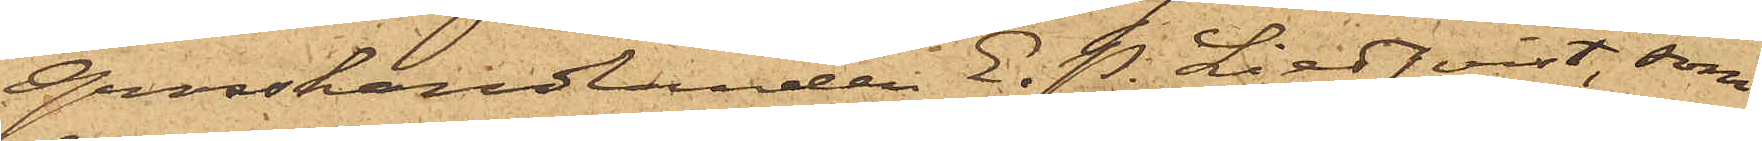Grosshandlanden E. P. Lindqvist, som
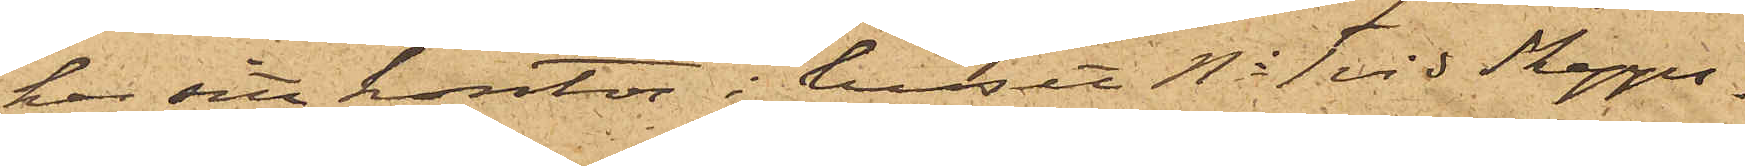har sitt kontor i huset No 1 vid Skepps¬
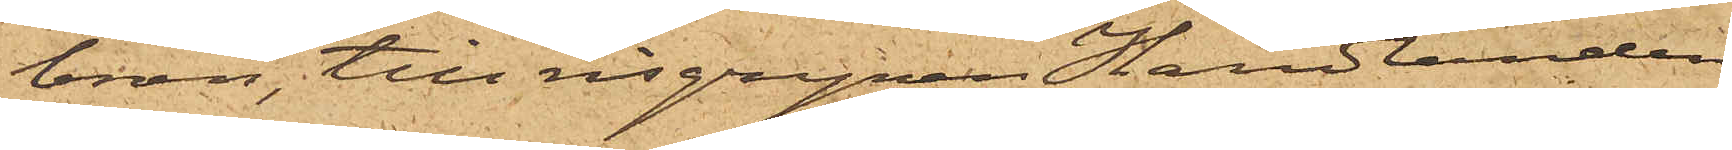bron, till risgrynen Handlanden
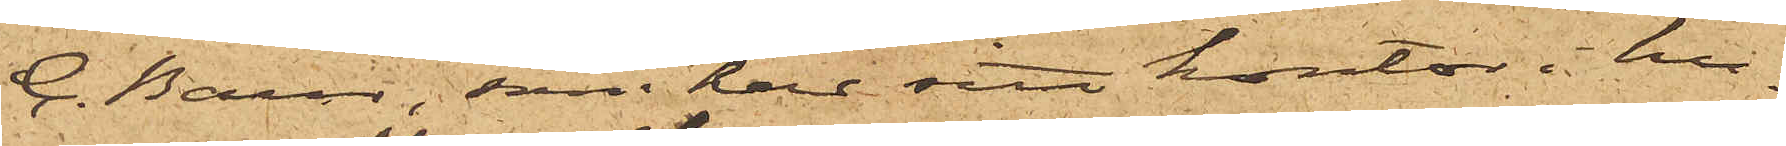C. Baur, som har sitt kontor i hu¬
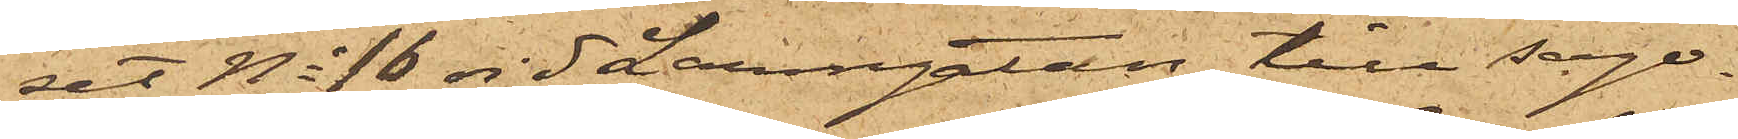set No 16 vid Larmgatan, till sago¬
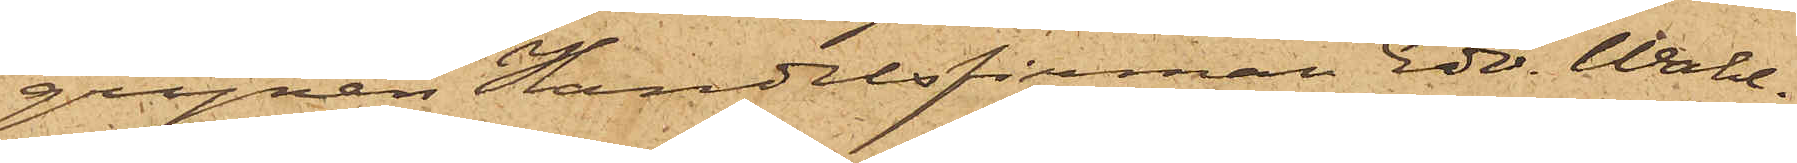grynen Handelsfirman Edv. Wahl¬
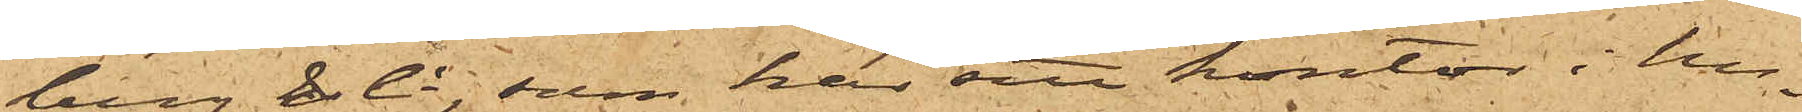berg & Ci, som har sitt kontor i hu¬
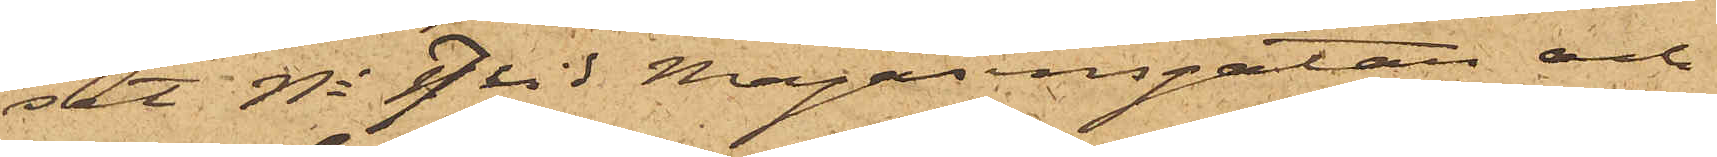set No 7 vid Magasinsgatan och
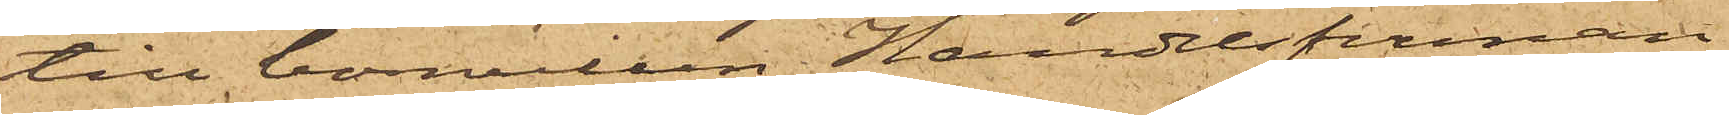till bomullen Handelsfirman
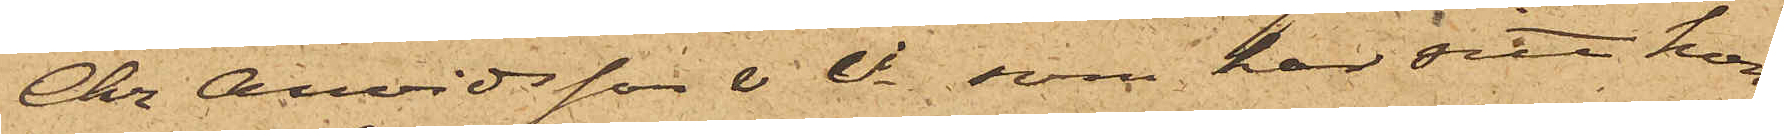Chr. Arvidsson & Ci, som har sitt kon¬
